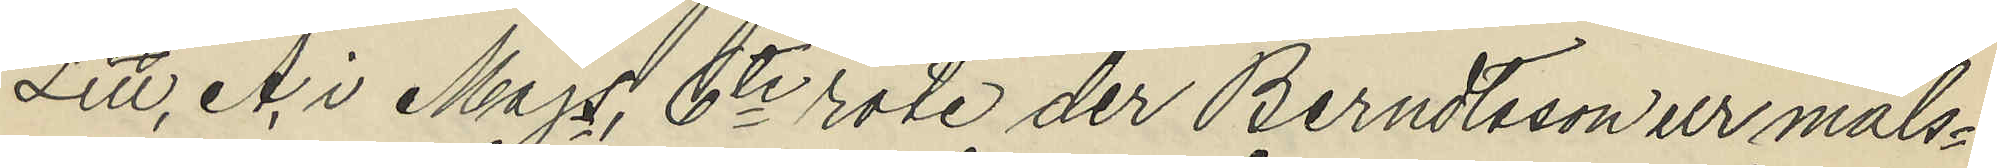Litt, A i Majs 6te rote der Berndtsson ur måls¬
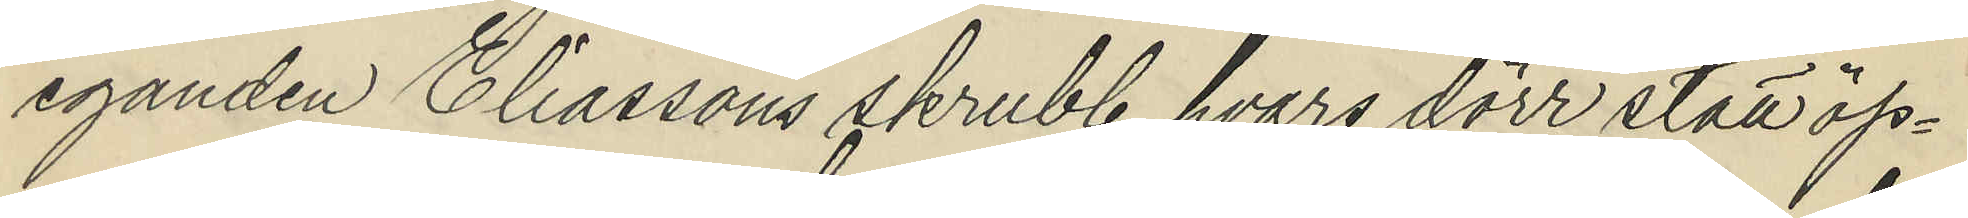eganden Eliassons skrubb, hvars dörr stått öp¬
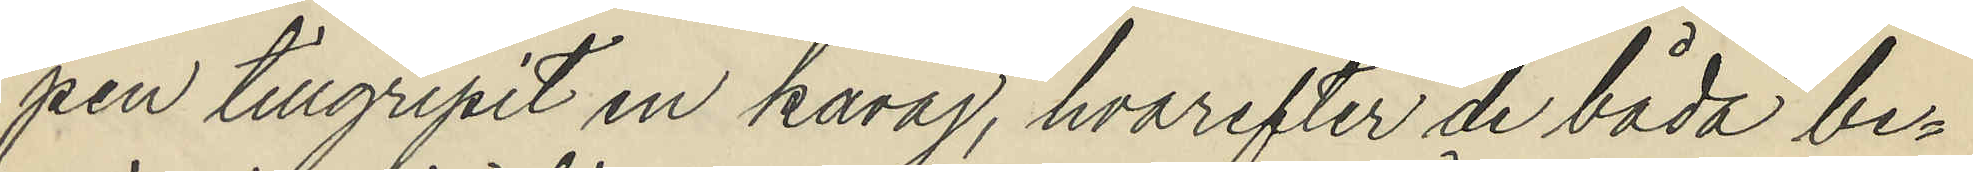pen tillgripit en kavaj, hvarefter de båda be¬
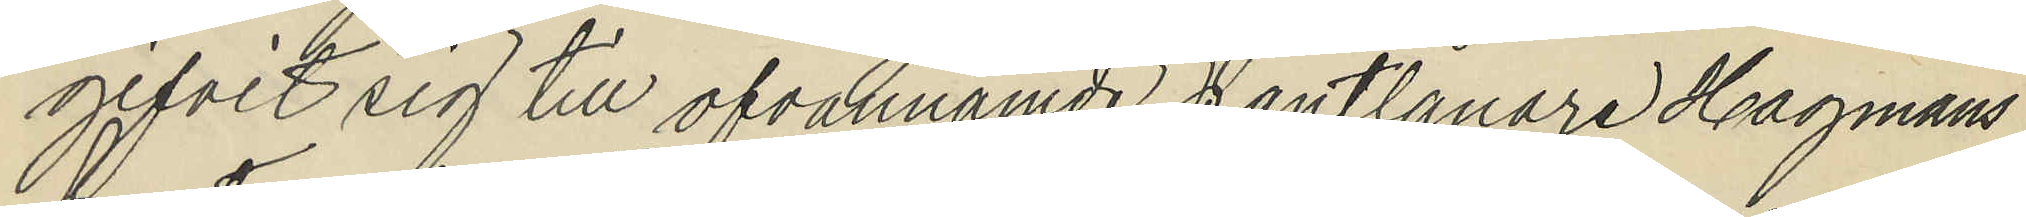gifvit sig till ofvannämde pantlånare Hagmans
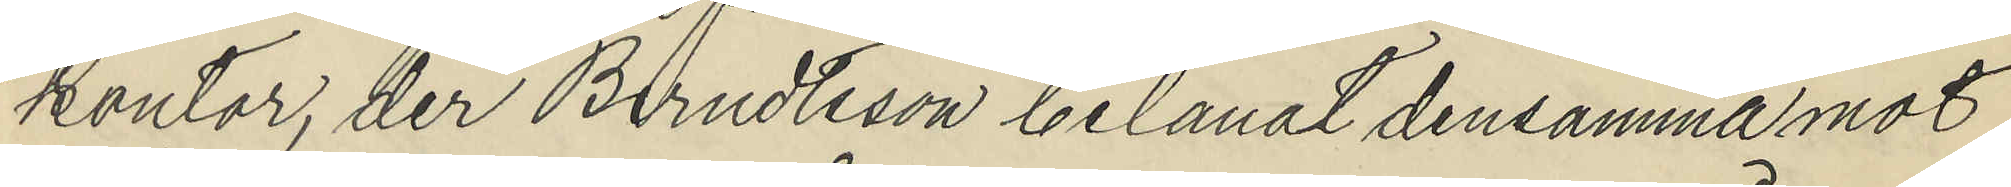kontor, der Berndtsson belånat densamma mot
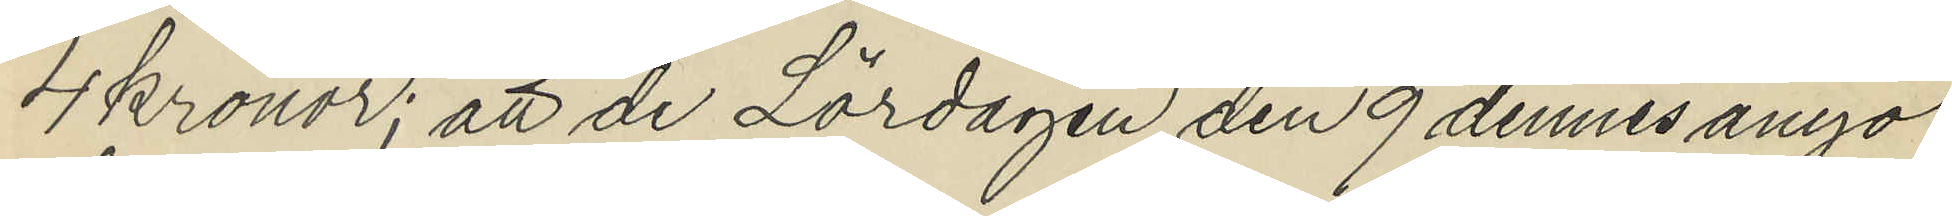4 Kronor; att de Lördagen den 9 dennes ånyo
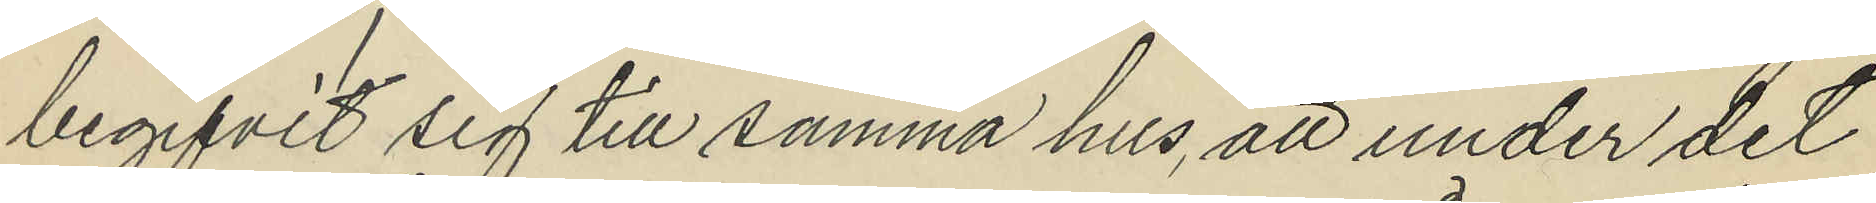begifvit sig till samma hus, att under det
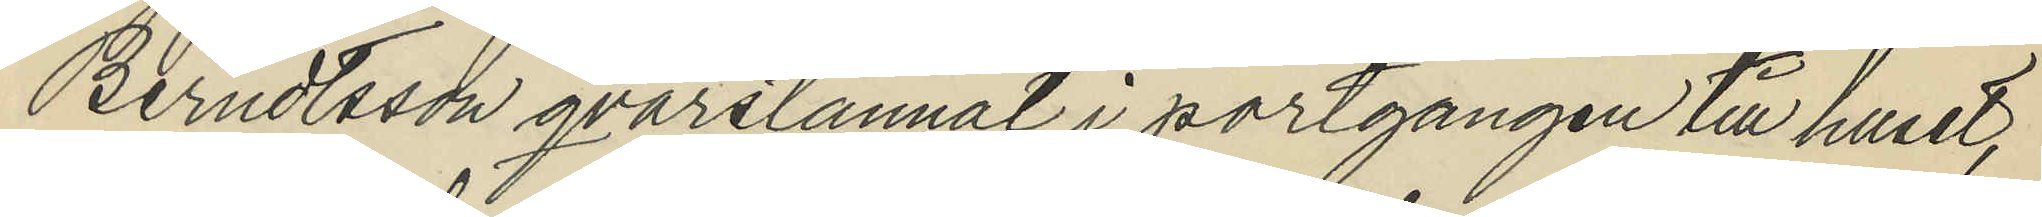Berndtsson qvarstannat i portgången till huset,
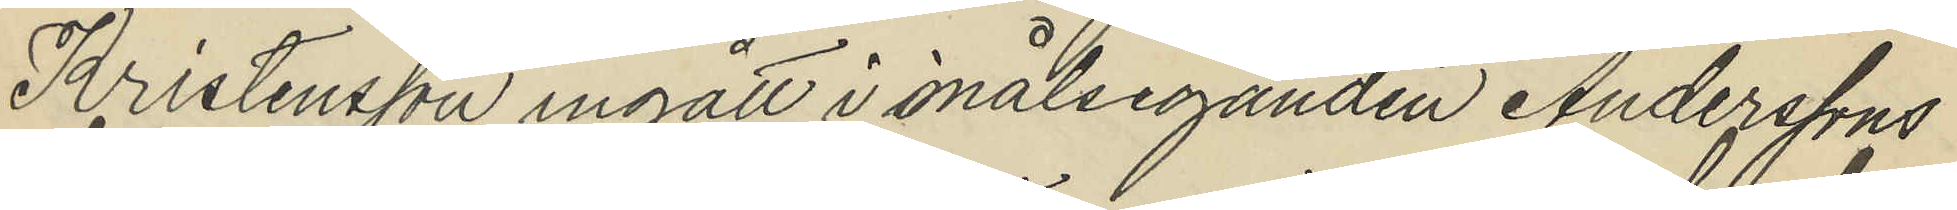Kristensson ingått i målseganden Anderssons
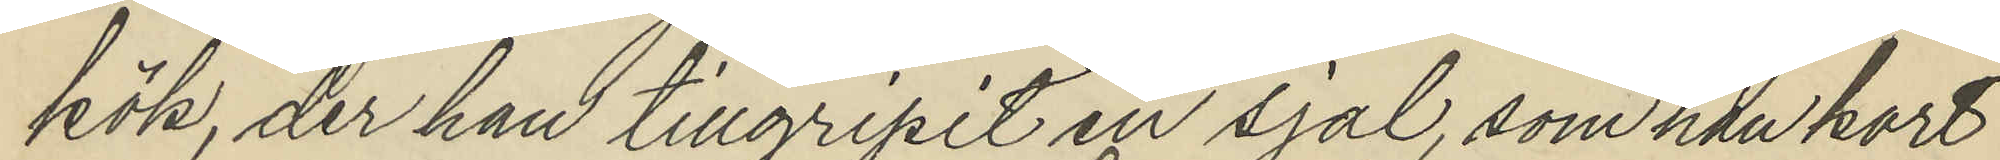kök, der han tillgripit en sjal, som han kort
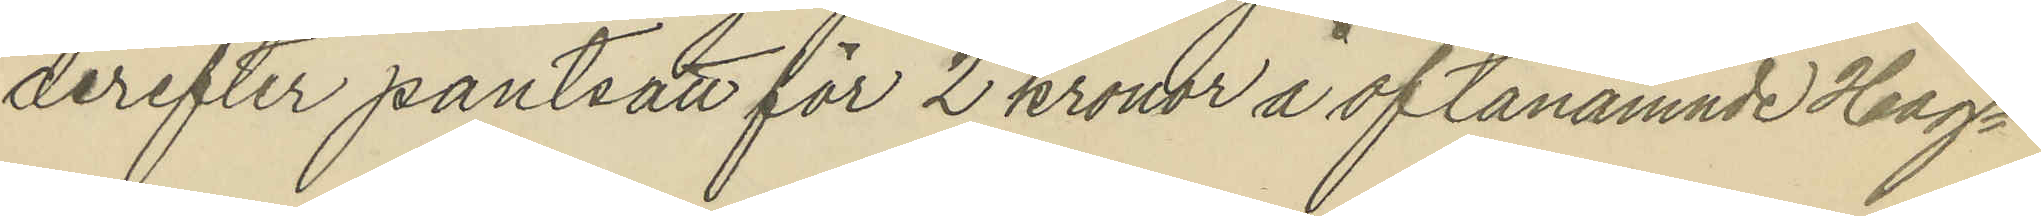derefter pantsatt för 2 kronor å oftanämnde Hag¬
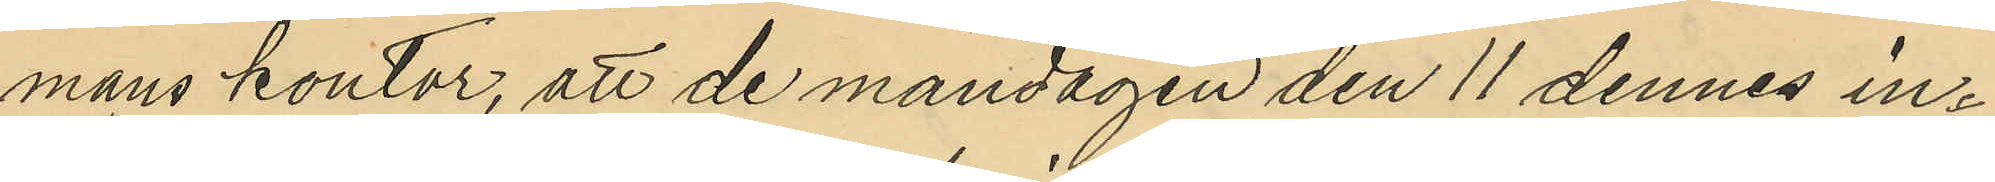mans kontor, att de måndagen den 11 dennes in¬
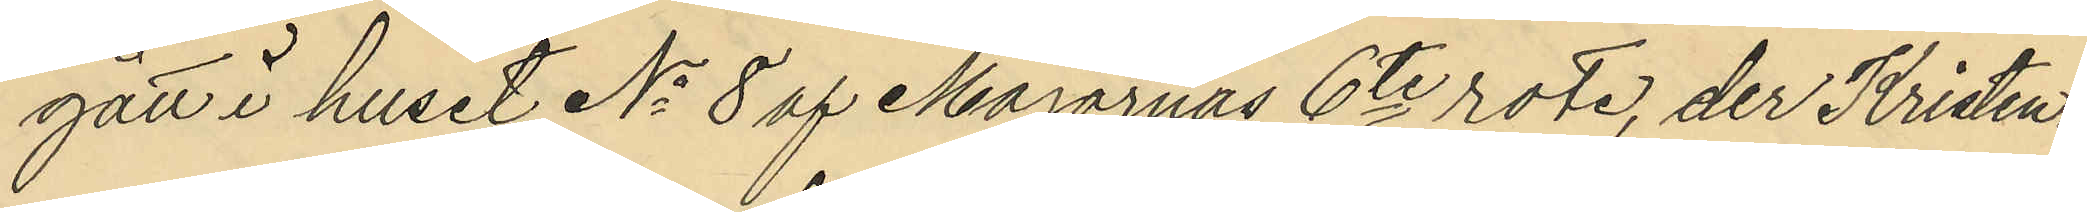gått i huset No 8 af Majornas 6te rote, der Kristen¬
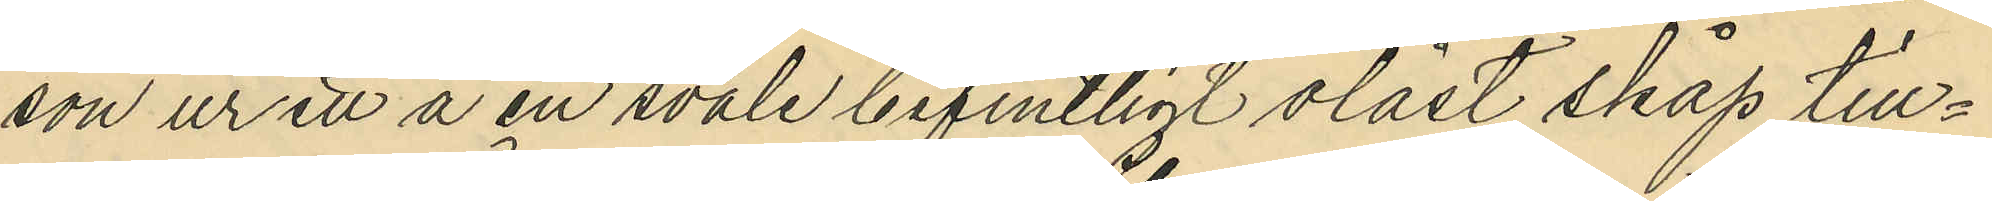son ur ett å en svale befintligt olåst skåp till¬
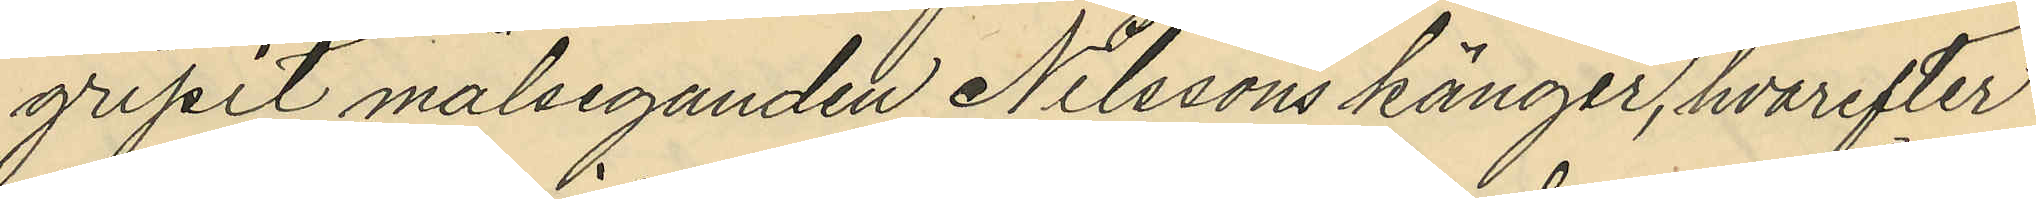gripit målseganden Nilssons känger, hvarefter
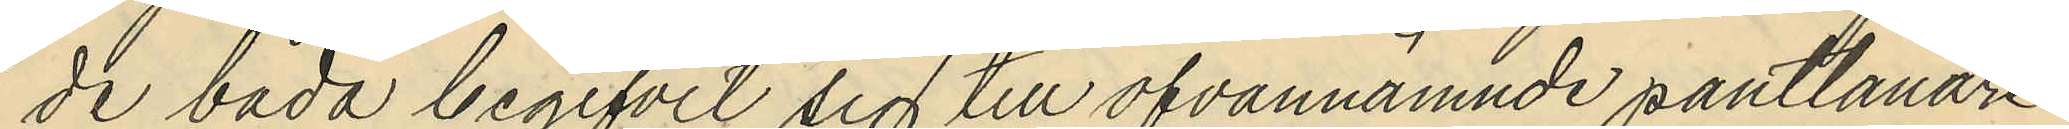de båda begifvit sig till ofvannämnde pantlånare
